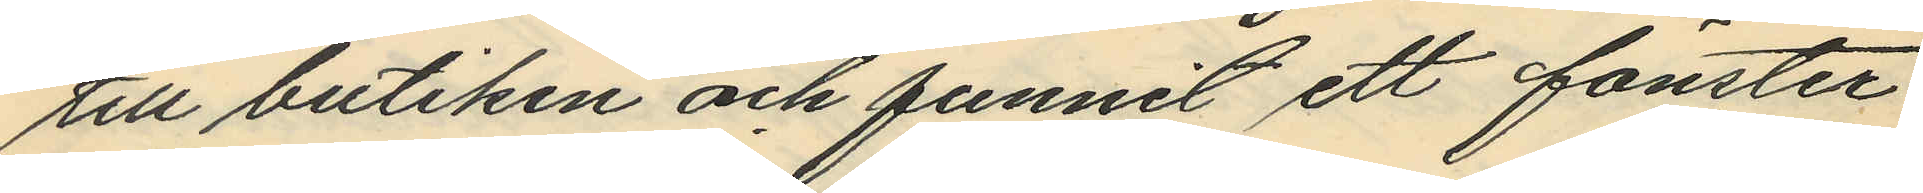till butiken och funnit ett fönster
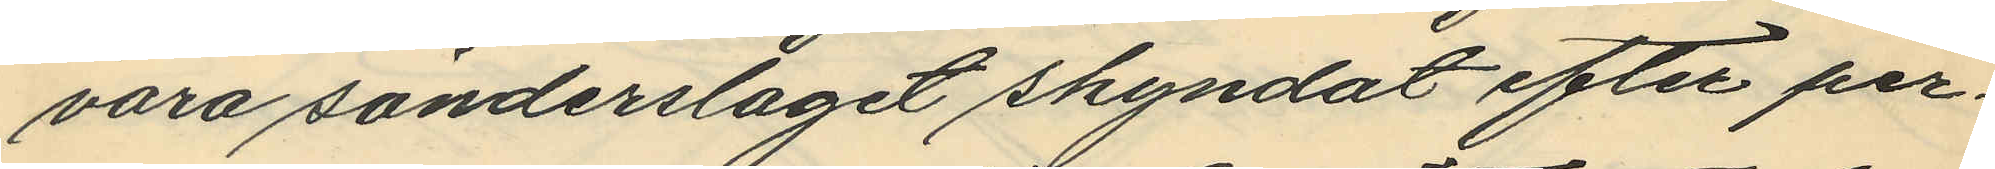vara sönderslagit skyndat efter per¬
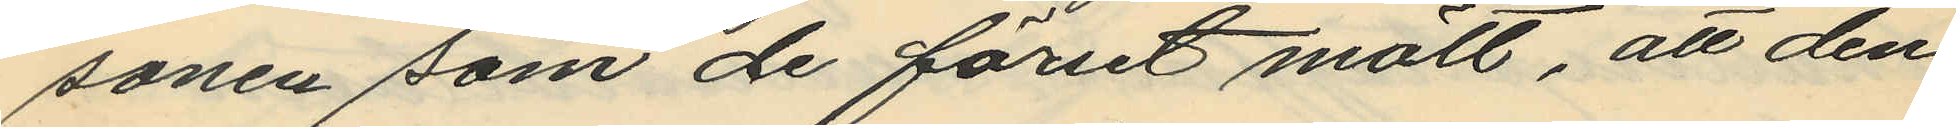sonen som de förut mött, att den¬
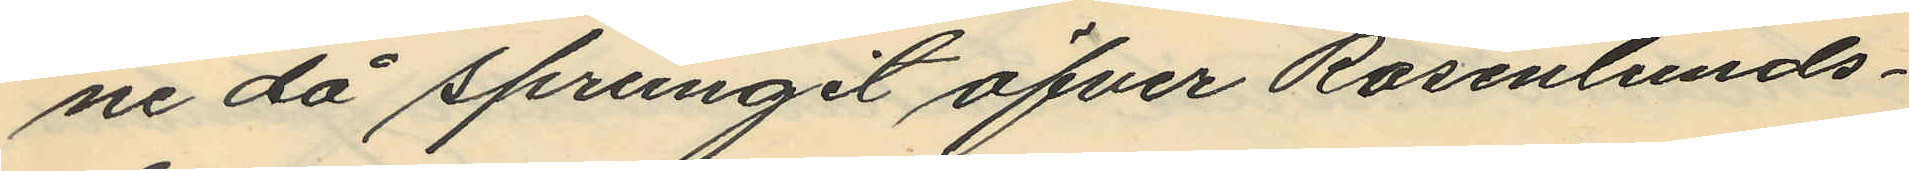ne då sprungit öfver Rosenlunds¬
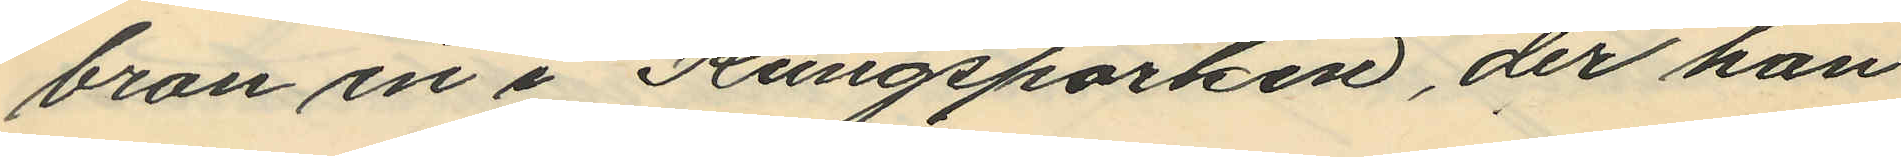bron in i Kungsparken, der han
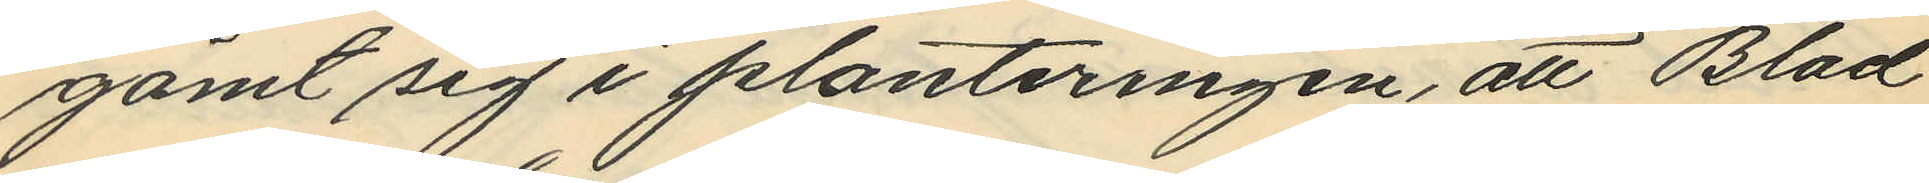gömt sig i planteringen, att Blad
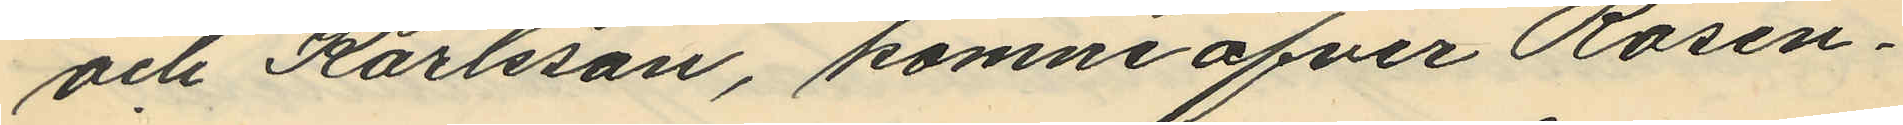och Karlsson, komne öfver Rosen¬
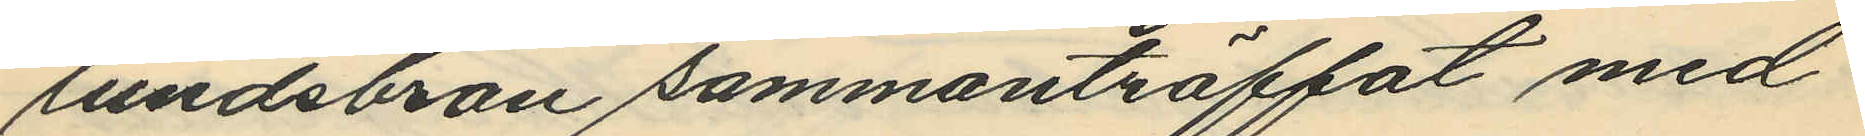lundsbron sammanträffat med
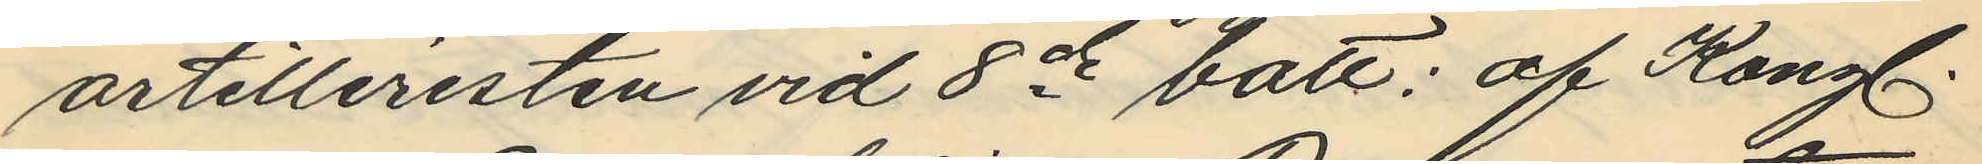artilleristen vid 8de batt: af Kongl.
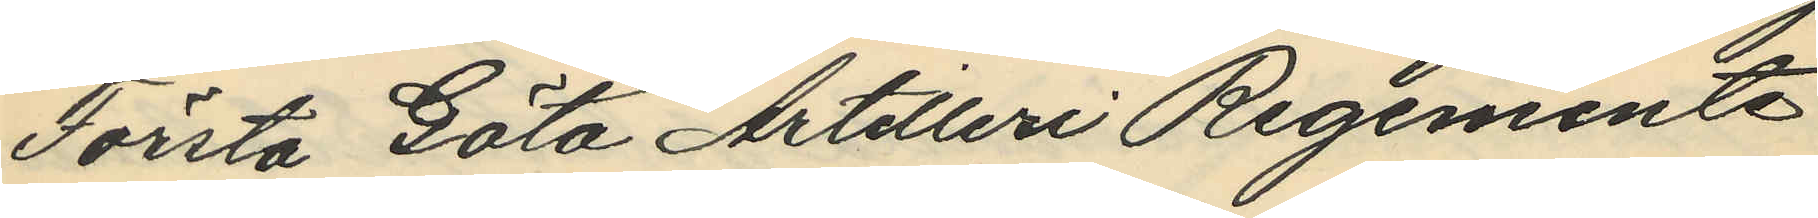Första Göta Artilleri Regemente
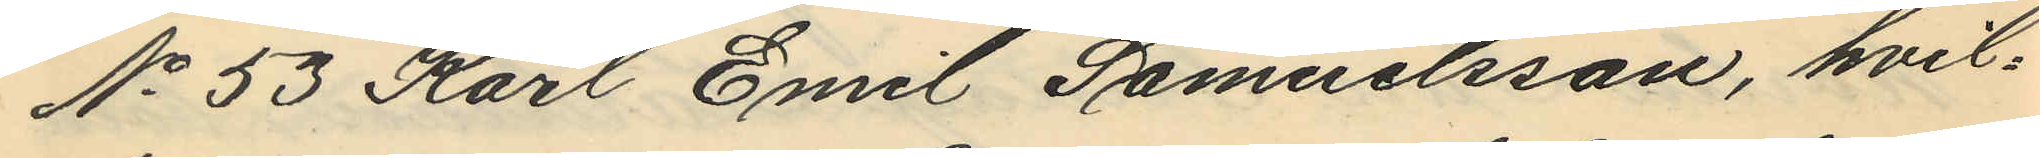No 53 Karl Emil Samuelsson, hvil¬
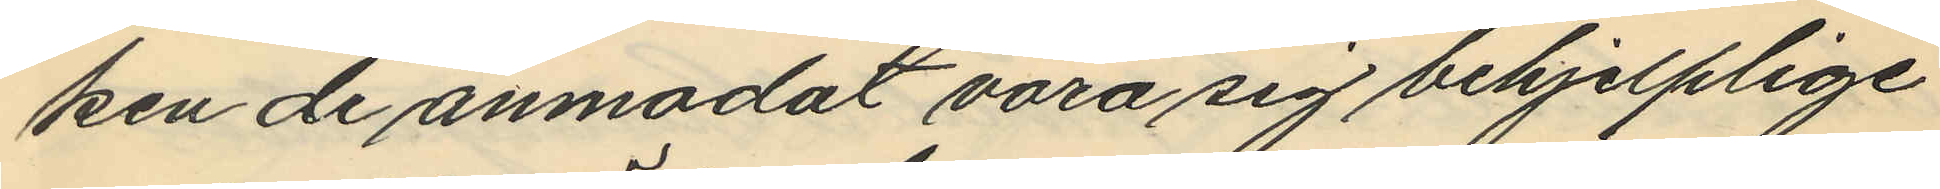ken de anmodat vara sig behjelplige
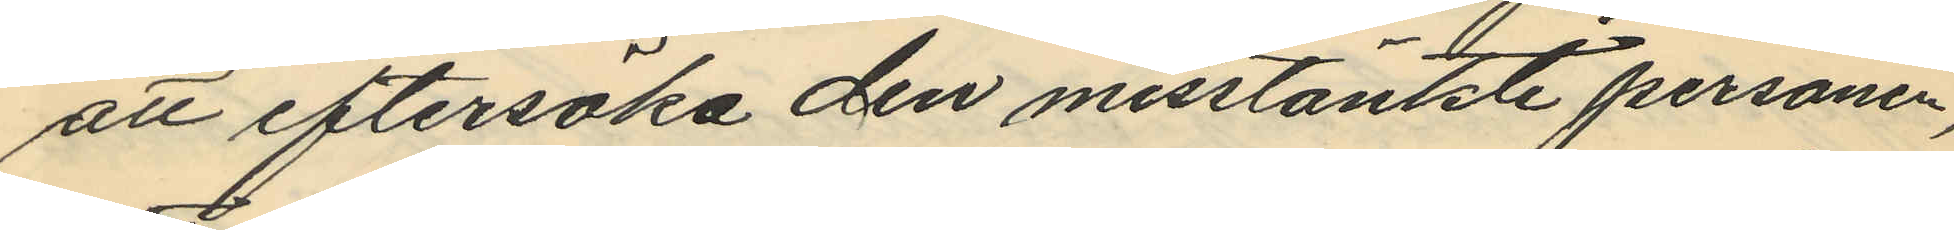att eftersöka den misstänkte personen,
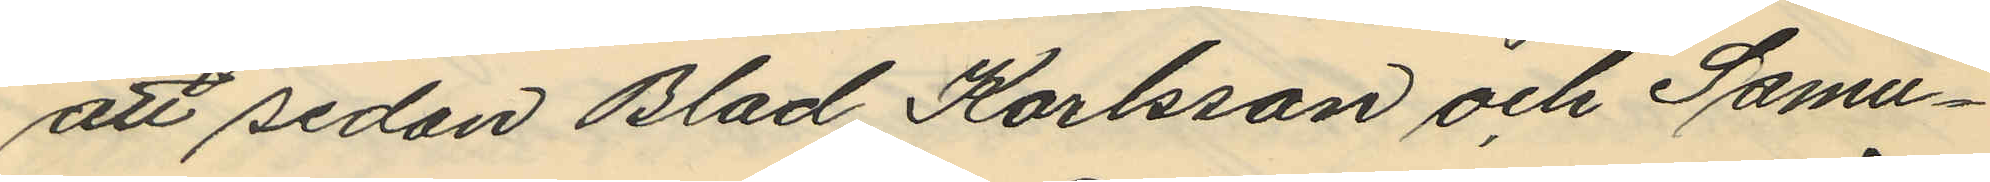att sedan Blad, Karlsson och Samu¬
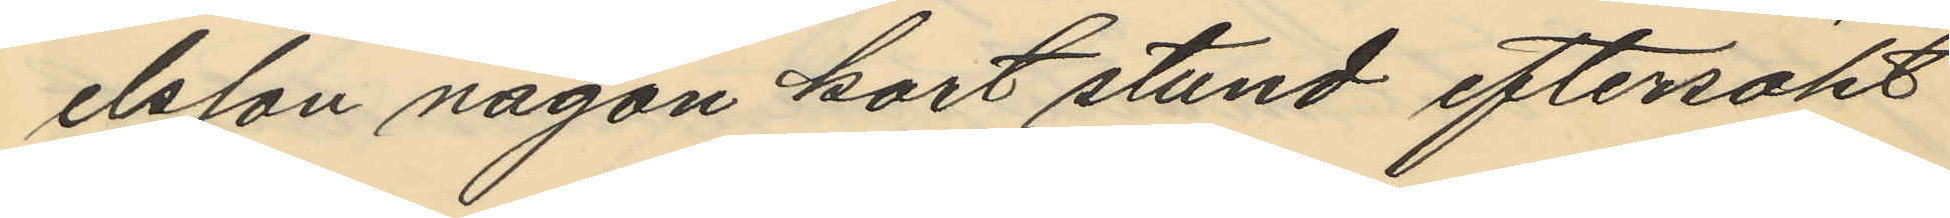elsson någon kort stund eftersökt
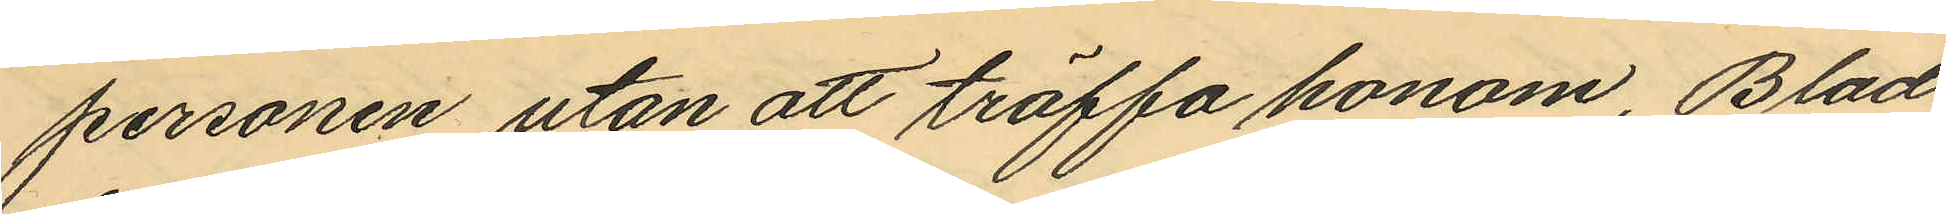personen utan att träffa honom, Blad
